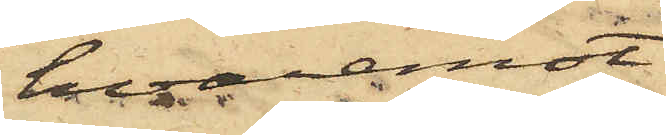hvaremot
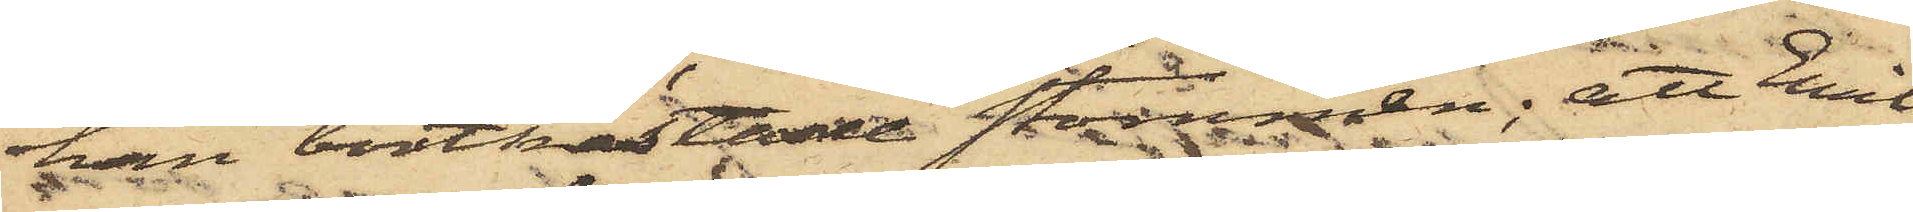han bortkastade stommen; att Emil
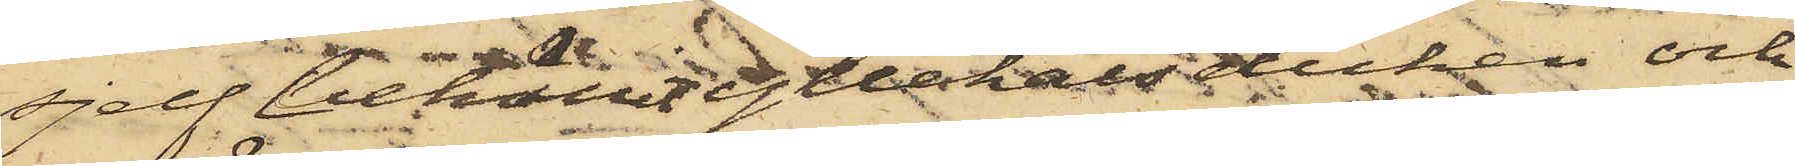sjelf behållit yllehalsduken och
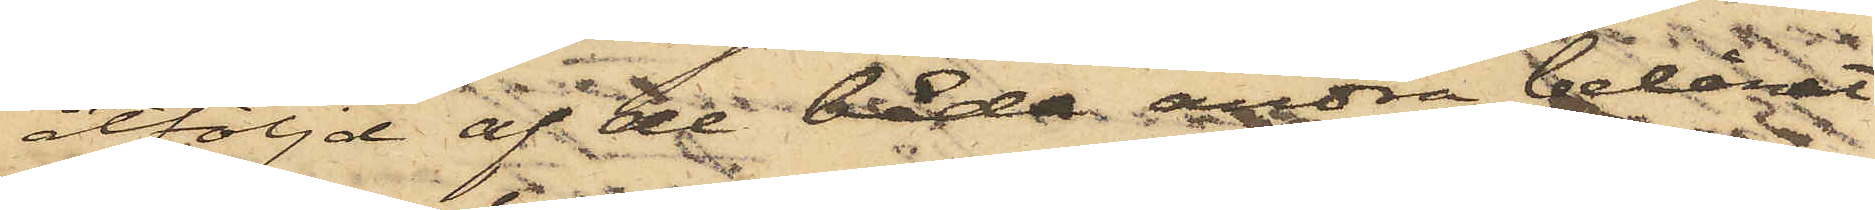åtföljd af de båda andra belånat
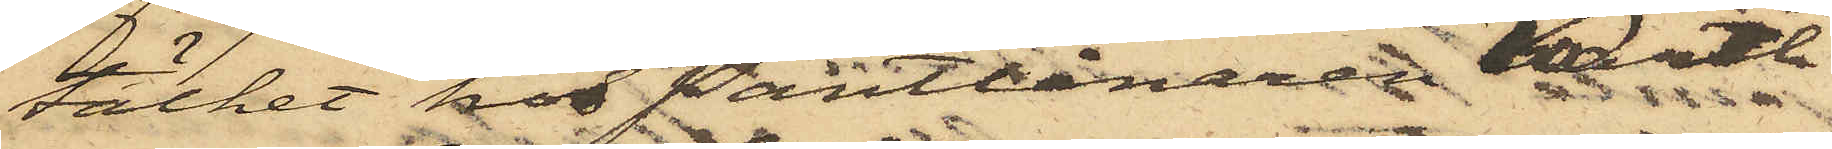täcket hos Pantlånaren Karth
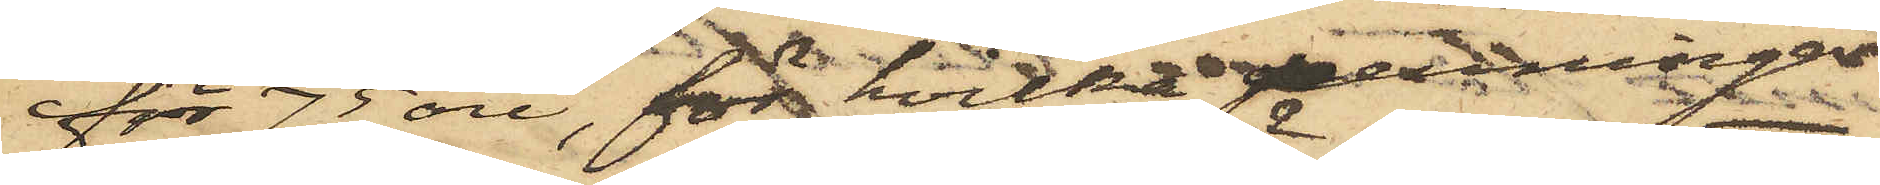för 75 öre, för hvilka penningar
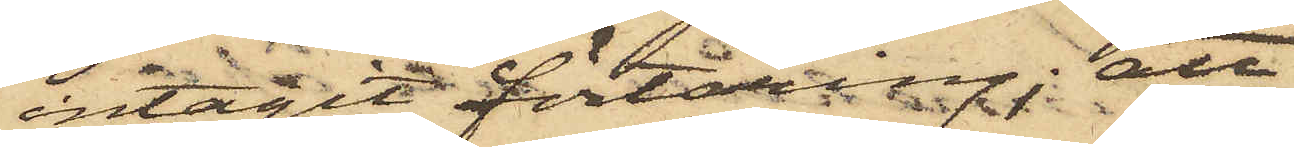intagit förtäring; att
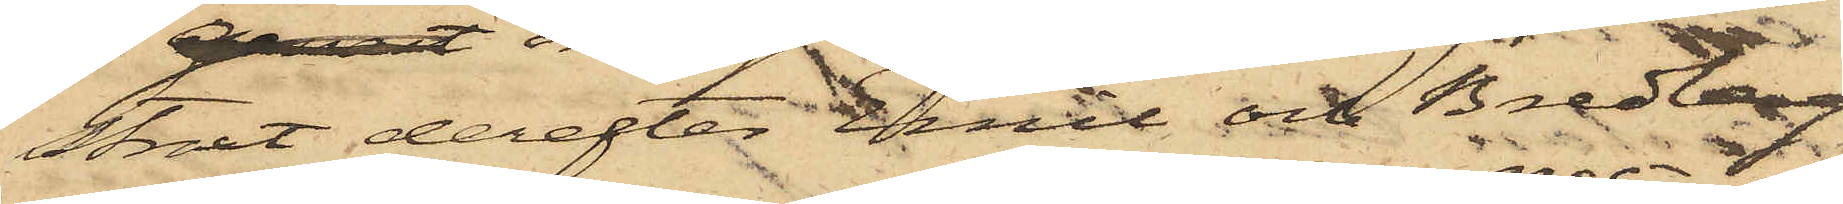straxt derefter Emil och Bredberg
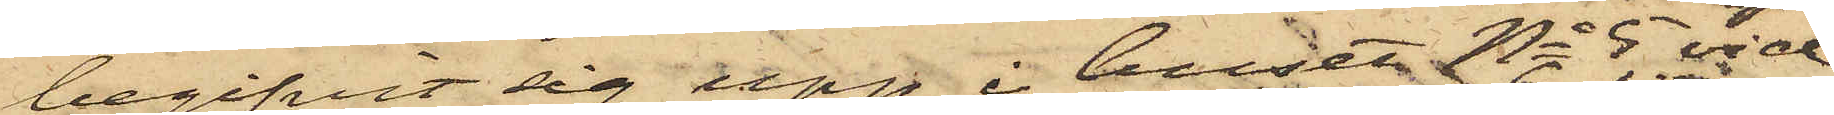begifvit sig upp i huset No 5 vid
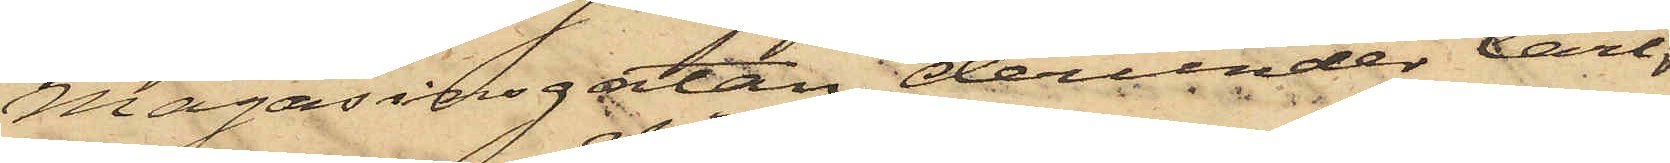Magasinsgatan, derunder Carl
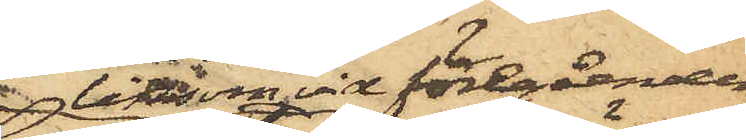liksom vid föregåenden
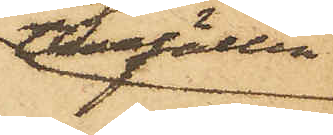tillfällen
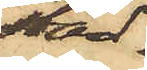stad¬
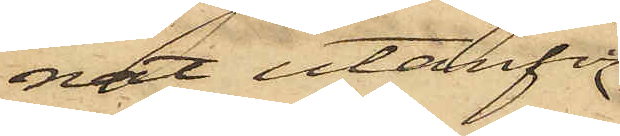nat utanför
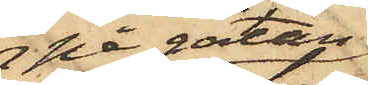på gatan
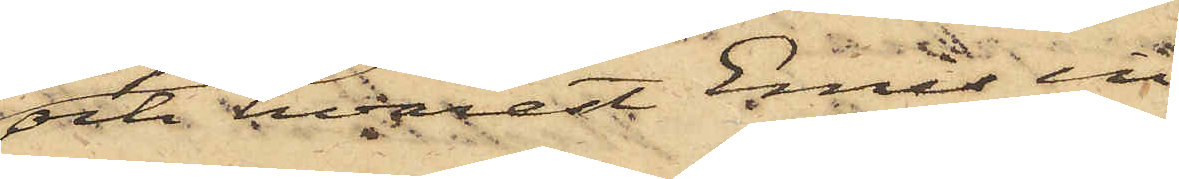och hvarest Emil in¬
